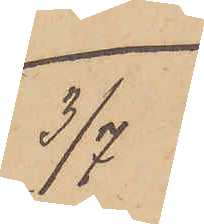3/7
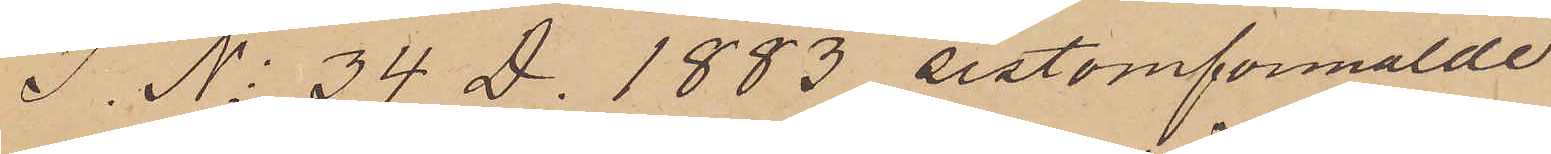I. No 34 D. 1883 sistomförmälde
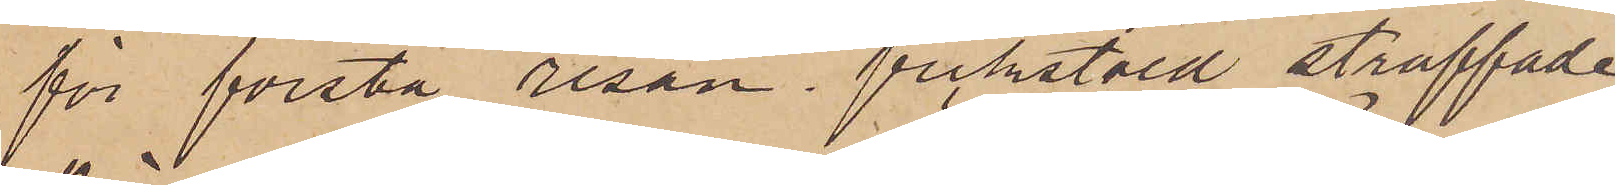för första resan fickstöld straffade
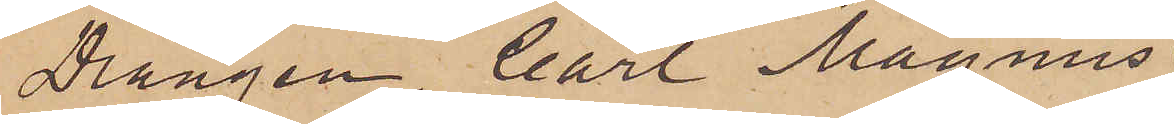Drängen Carl Magnus
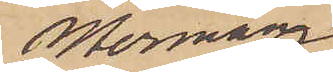Mormann
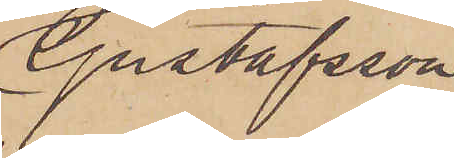Gustafsson
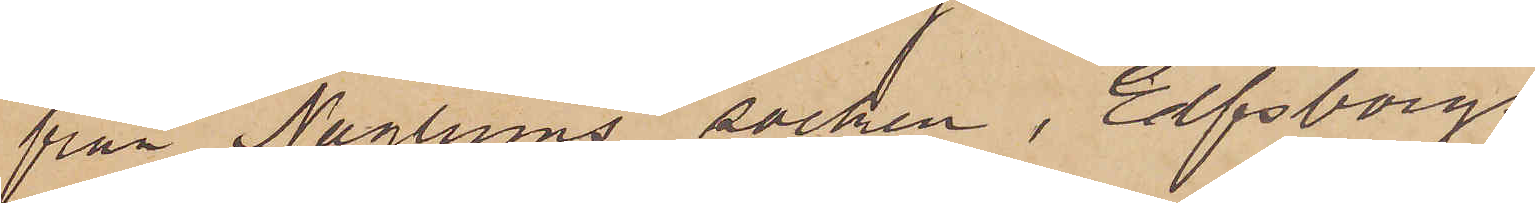från Naglums socken, Elfsborgs
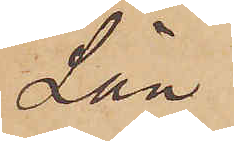Län
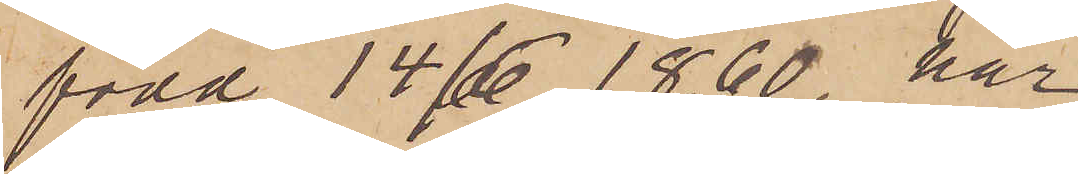född 14/6 1860 har
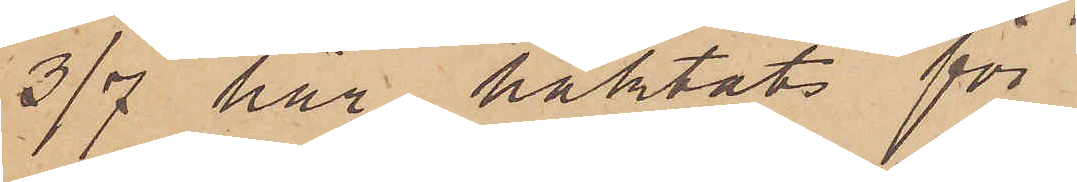3/7 här häktats för
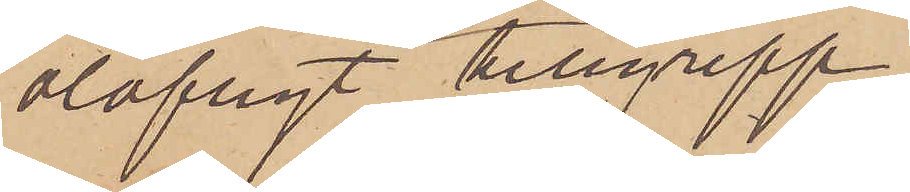olofligt tillgrepp.
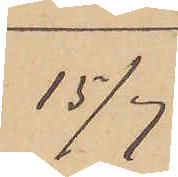15/7
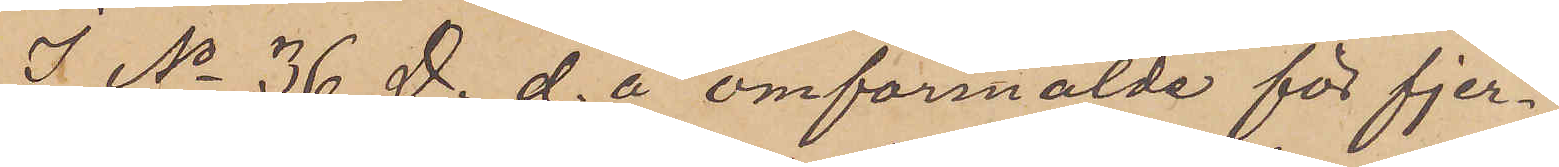I. No 36 D. d. å omförmälde för fjer¬
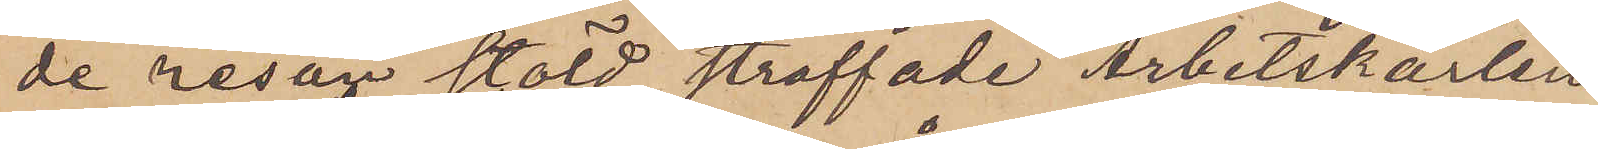de resan stöld straffade Arbetskarlen
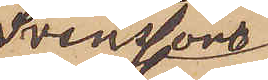Svenssons
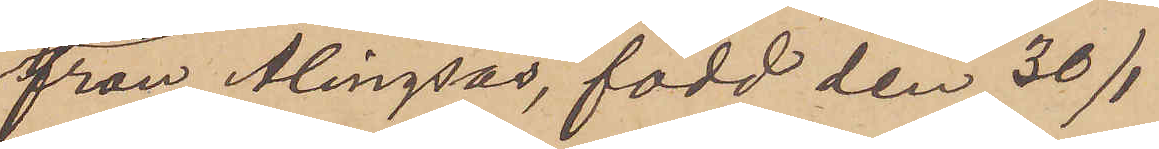från Alingsås, född den 30/1
